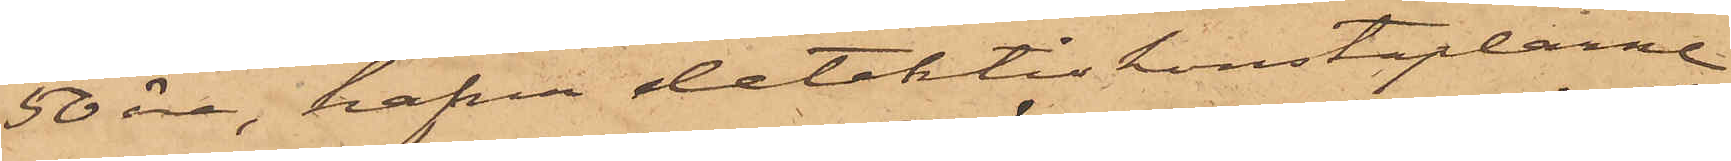50 öre, hafva detektivkonstaplarne
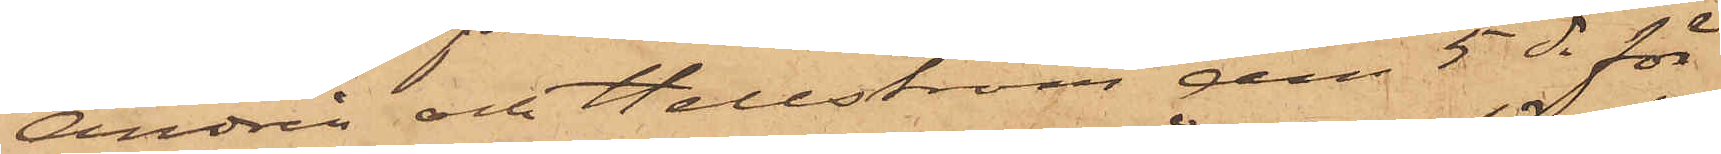Andrén och Hellström den 5 ds för
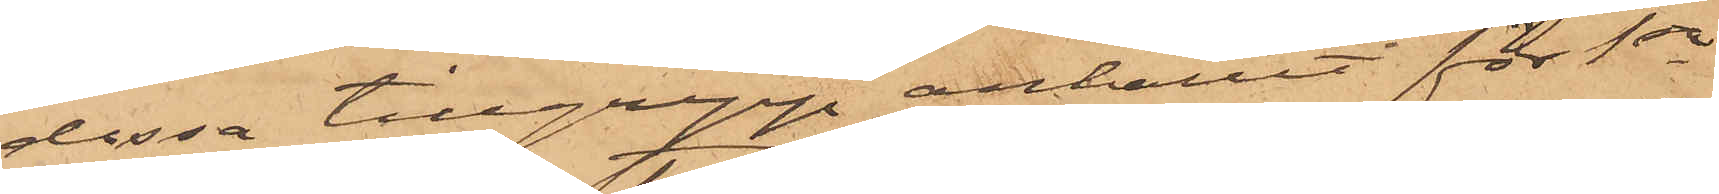dessa tillgrepp anhållit för 1sta
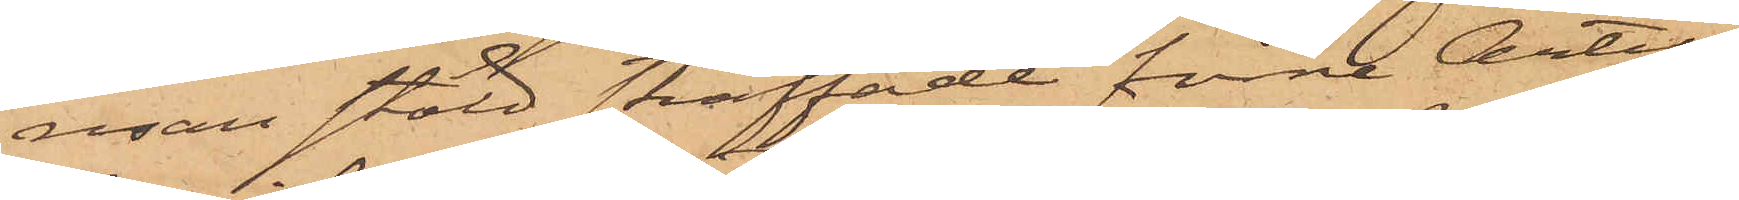resan stöld straffade förre Artil¬
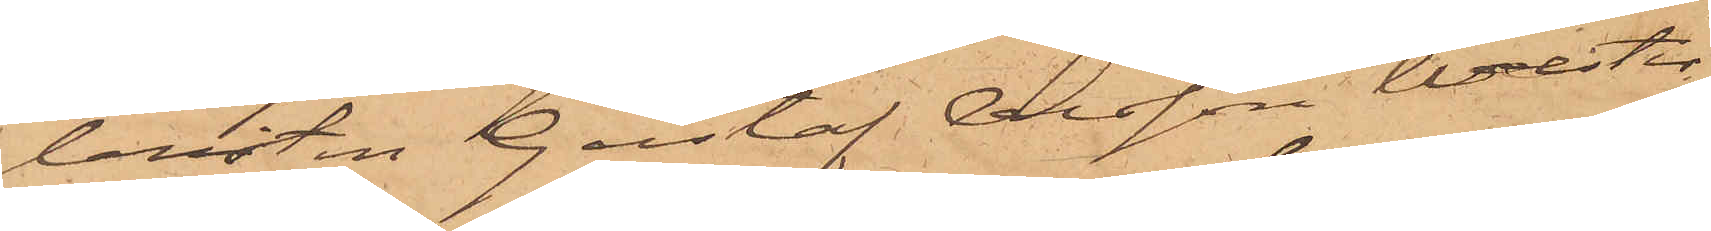leristen Gustaf Olsson Wester,
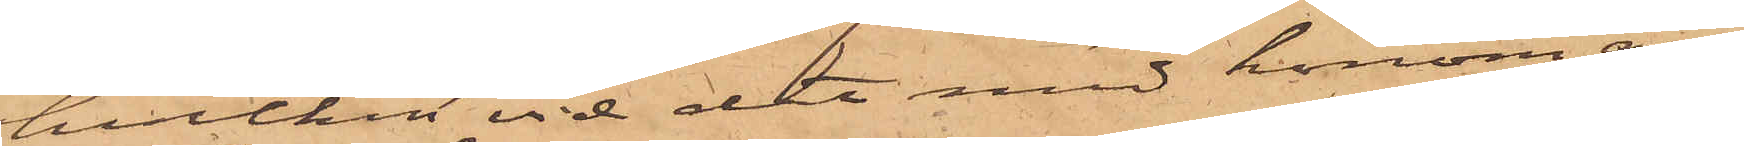hvilken vid det med honom an¬
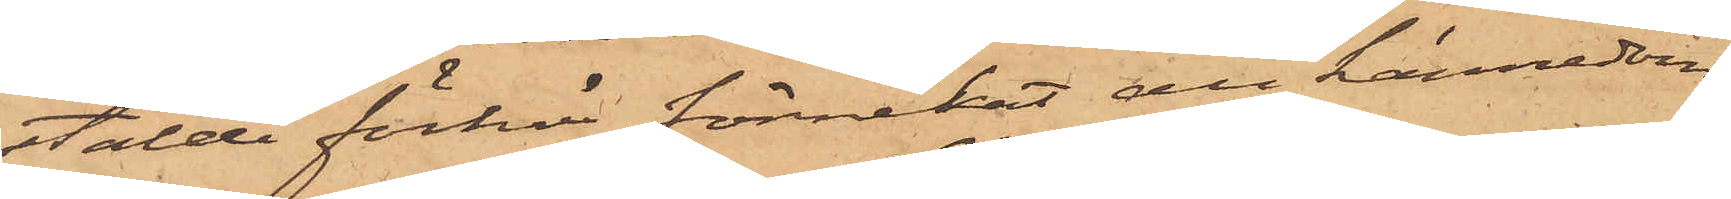stälde förhör förnekat all kännedom
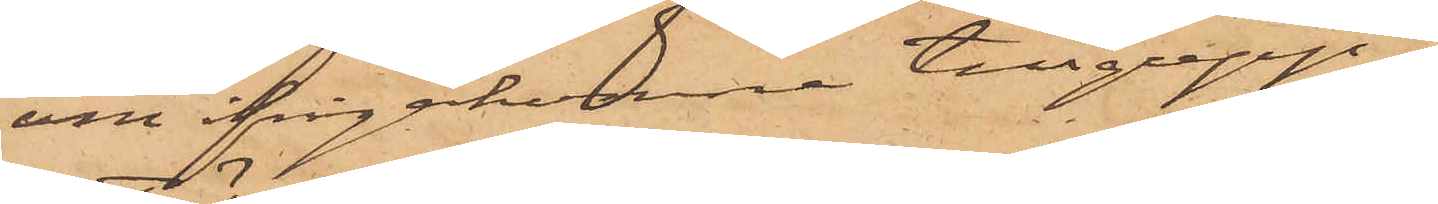om ifrågakomne tillgrepp.
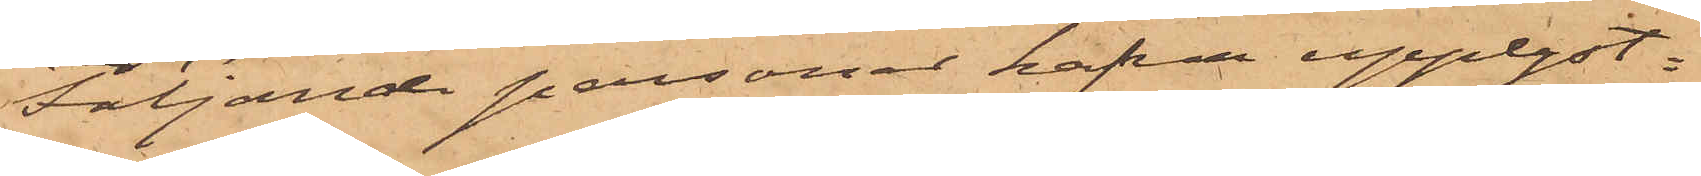Följande personer hafva upplyst:
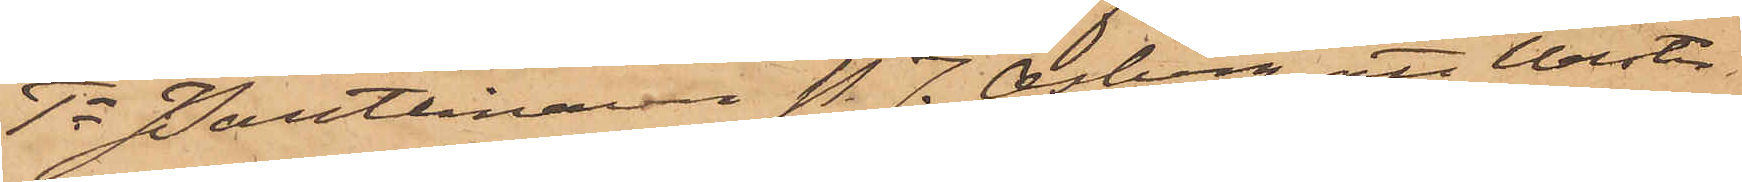1o Pantlånaren P. J. Osberg, att Wester
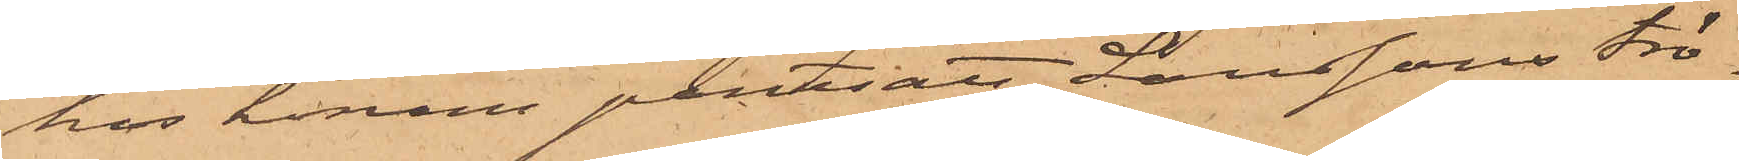hos honom pantsatt Larssons trö¬
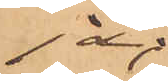ja;
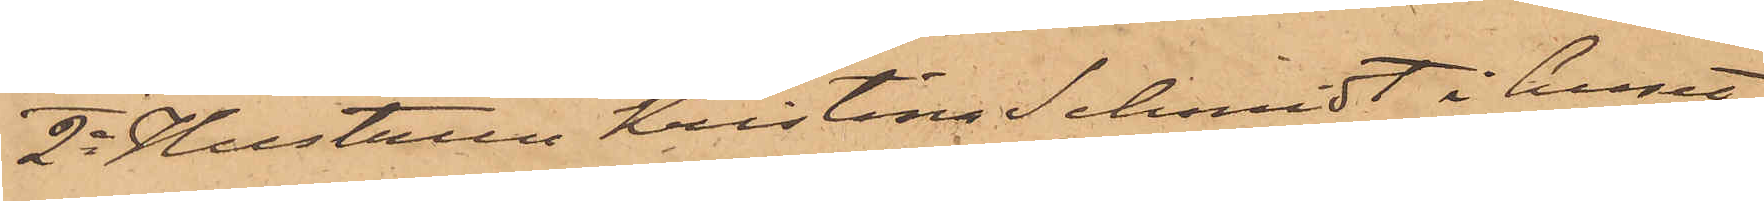2o Hustrun Kristina Schmidt i huset
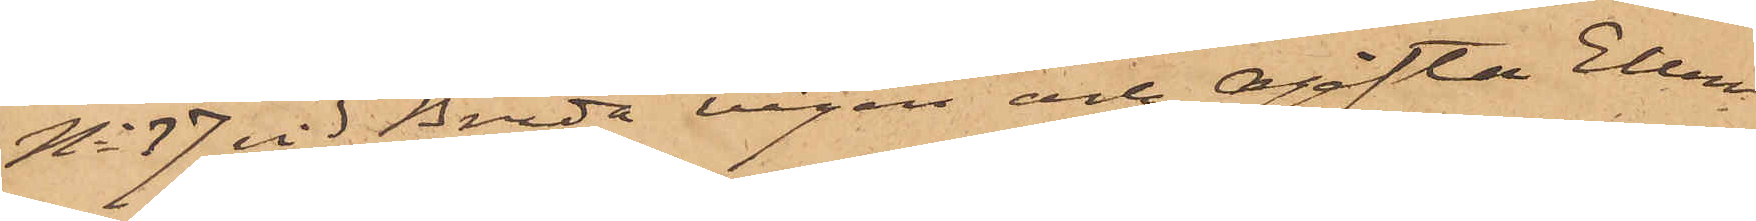No 37 vid Breda vägen och Ogifta Ellen
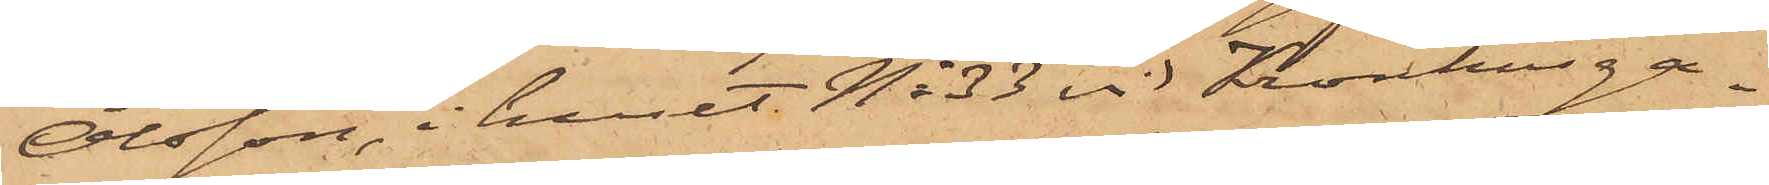Olsson, i huset No 33 vid Kronhusga¬
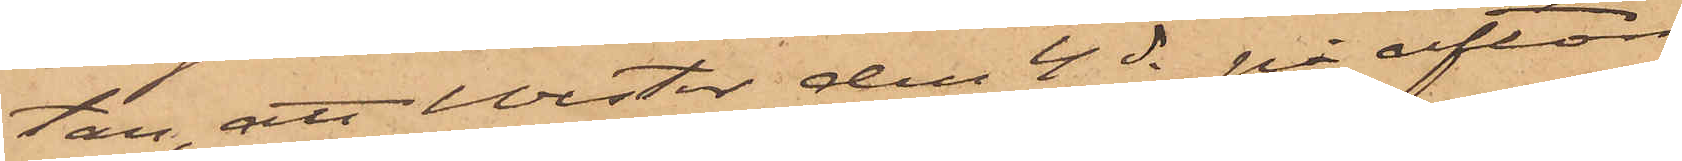tan, att Wester den 4 ds på afton
